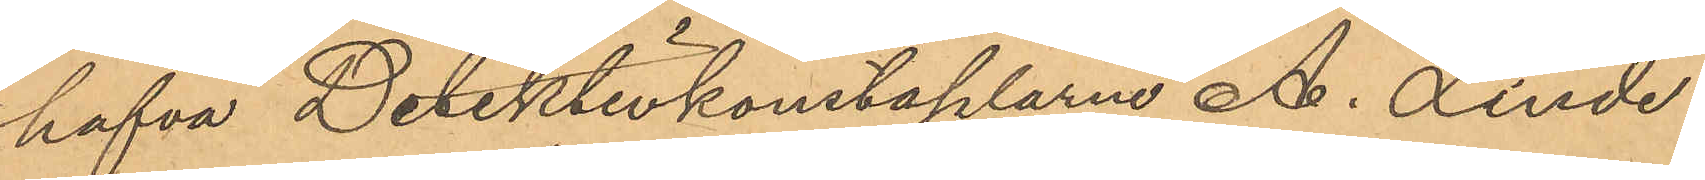hafva Detektivkonstaplarne A. Linde¬
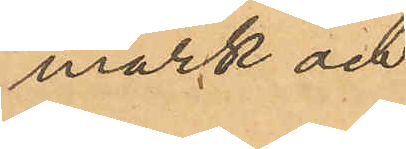mark och
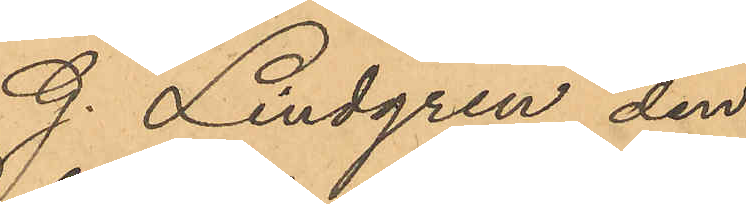G. Lindgren den
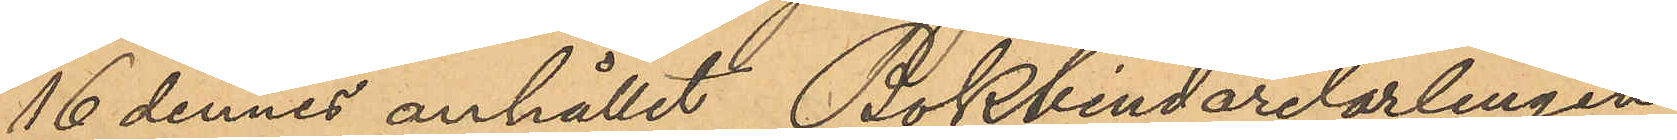16 dennes anhållit, Bokbindarelärlingen
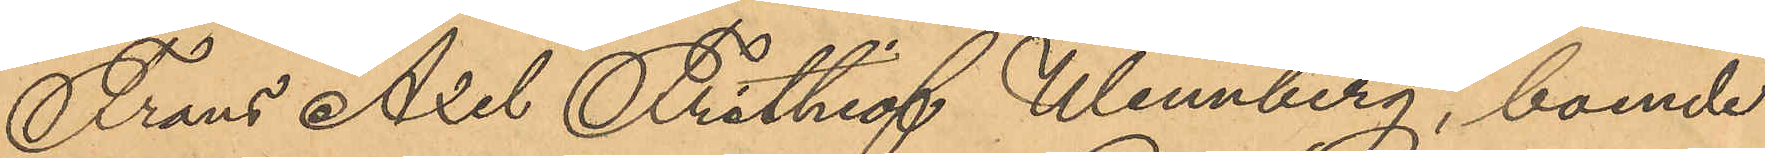Frans Axel Frithiof Wennberg, boende
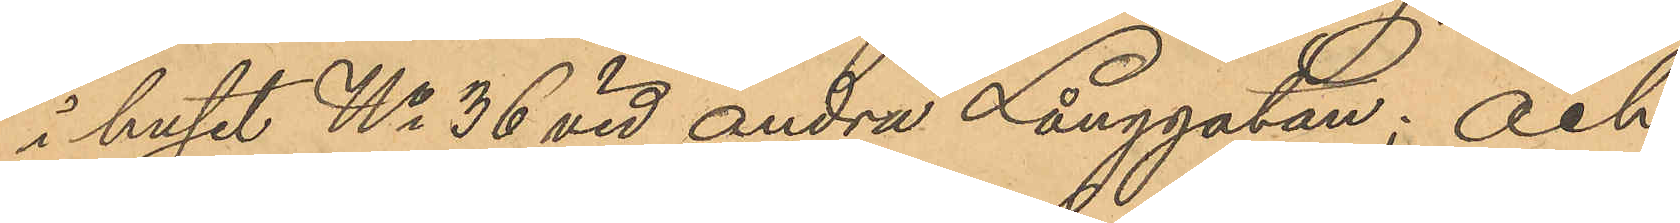i huset No 36 vid Andra Långgatan; och
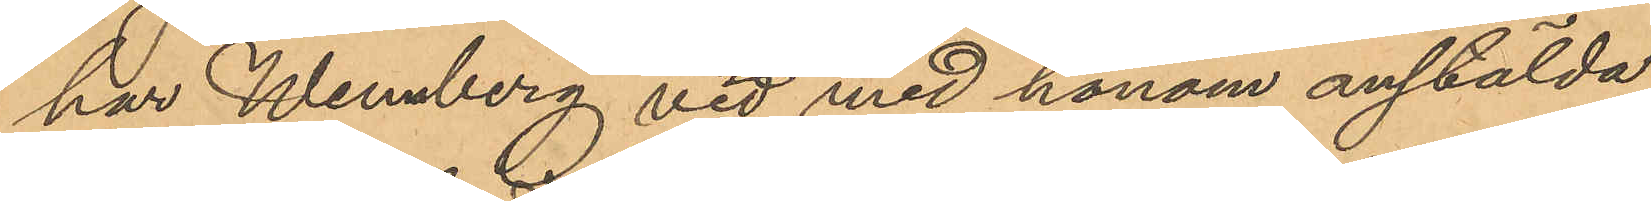har Wennberg vid med honom anstälda
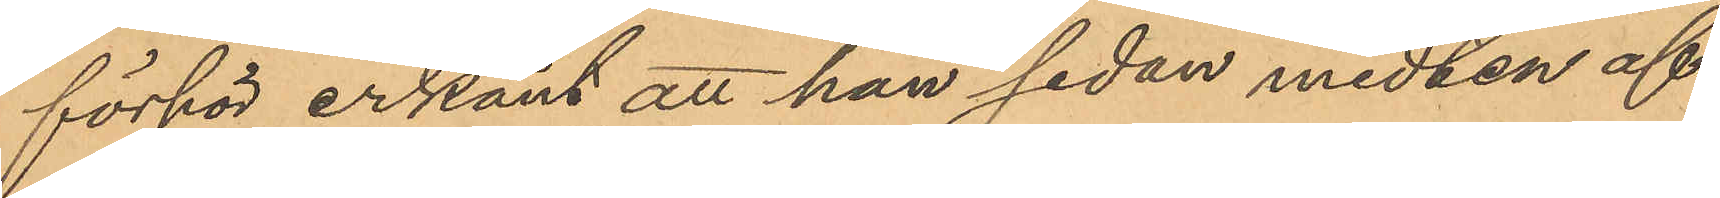förhör erkänt att han sedan midten af
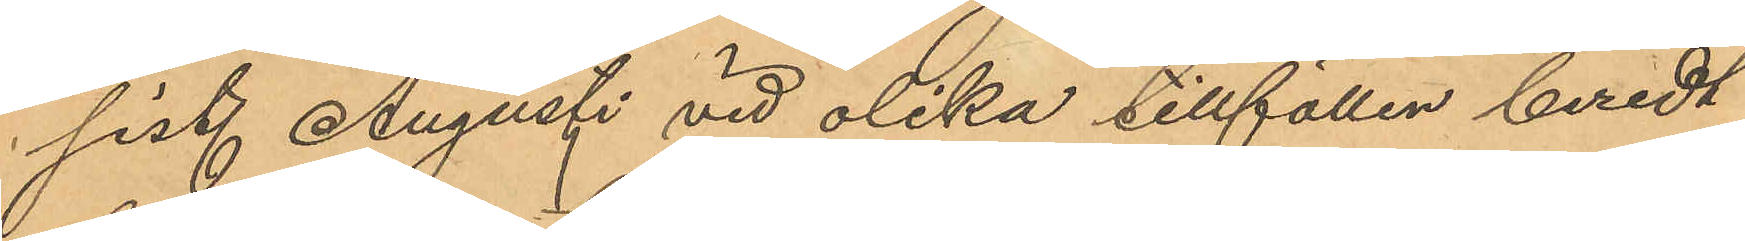sist. Augusti vid olika tillfällen beredt
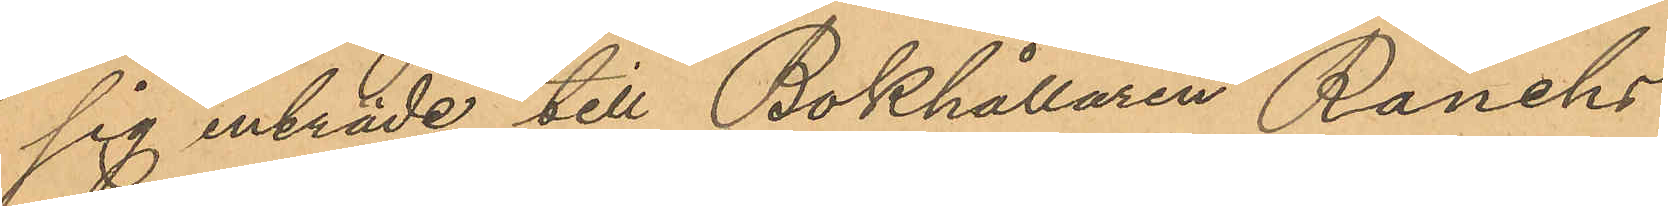sig inträde till Bokhållaren Ranchs
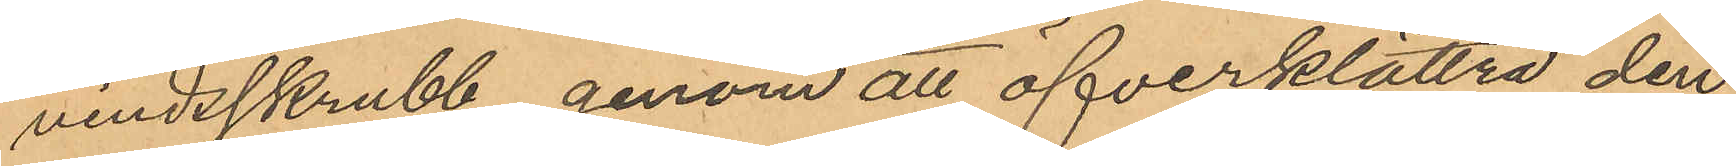vindsskrubb genom att öfverklättra den
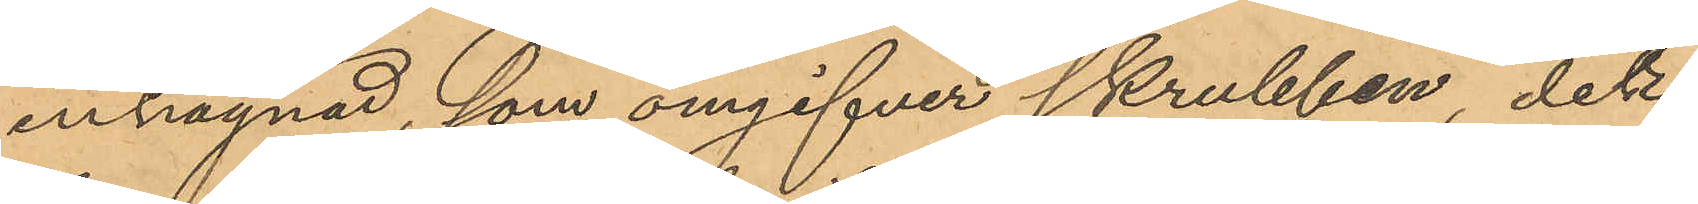inhägnad, som omgifver skrubben, det
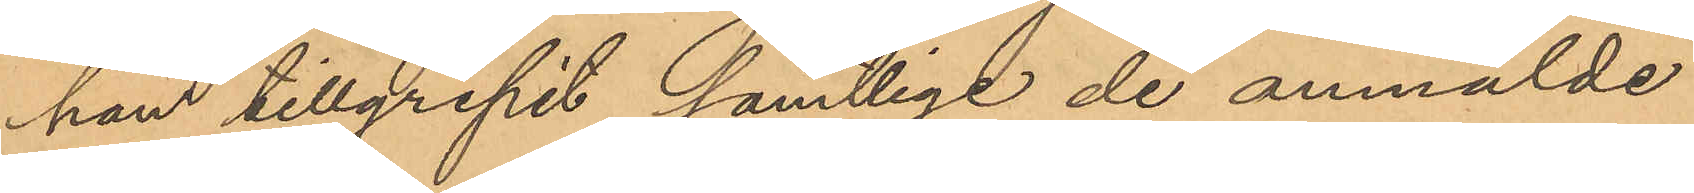hans tillgripit samtlige de anmälde
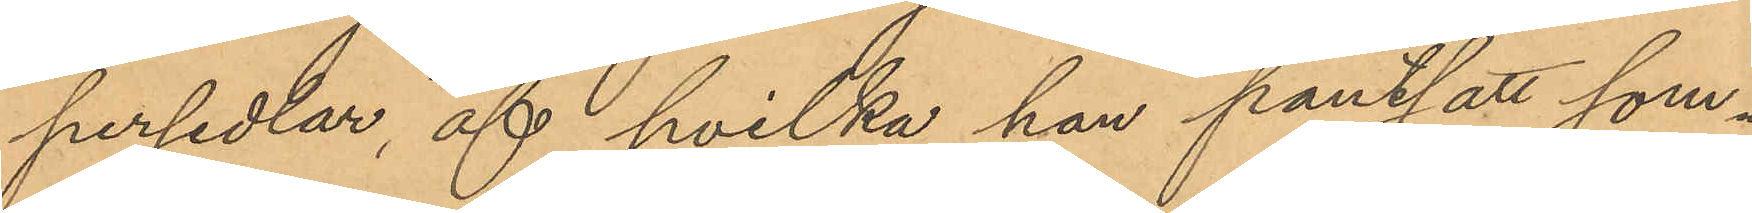persedlar, af hvilka han pantsatt som¬
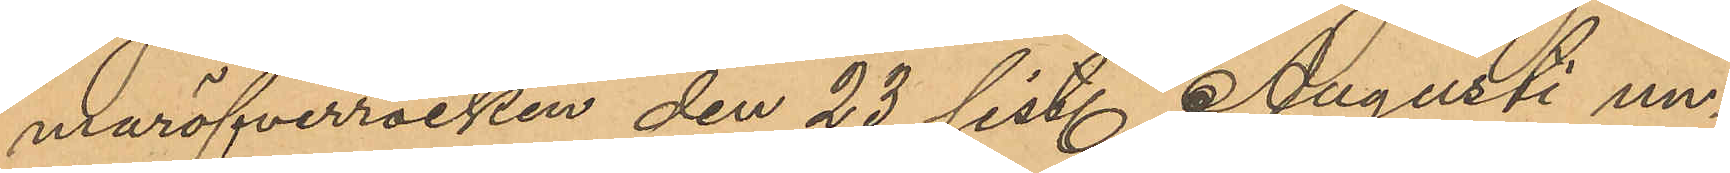maröfverrocken den 23 sist. Augusti un¬
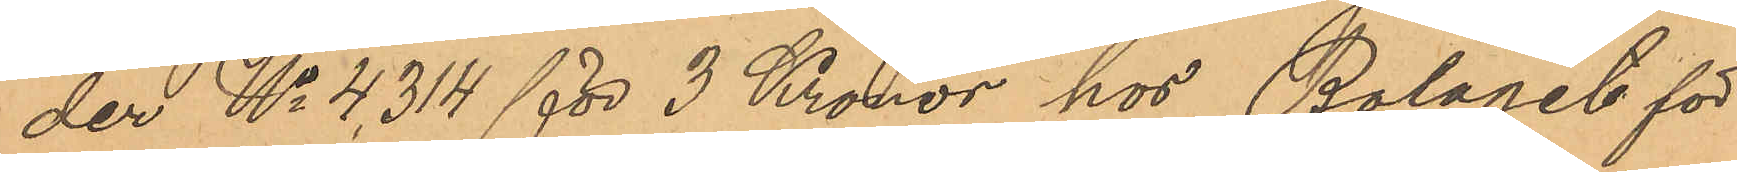der No 4,314 för 3 Kronor hos Bolaget för
